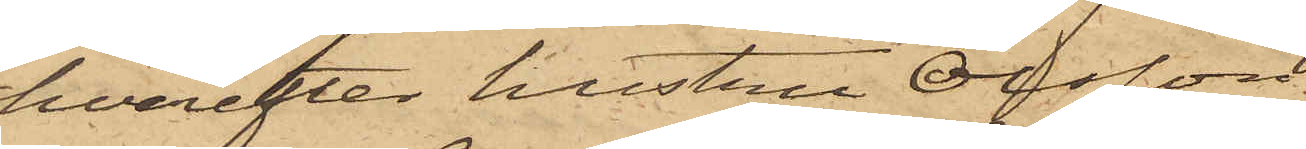hvarefter hustru Olsson,
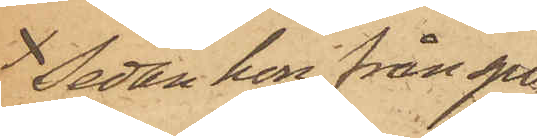Sedan hon från spo¬
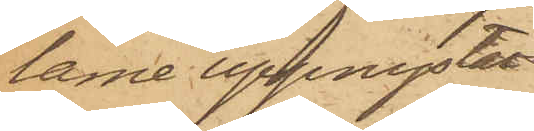larne uppnystat
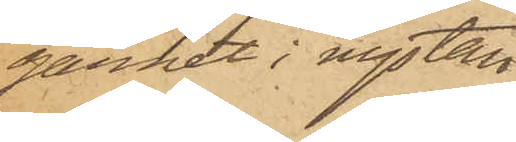garnet i nystan
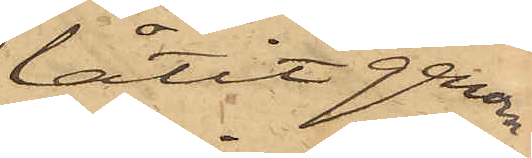låtit genom
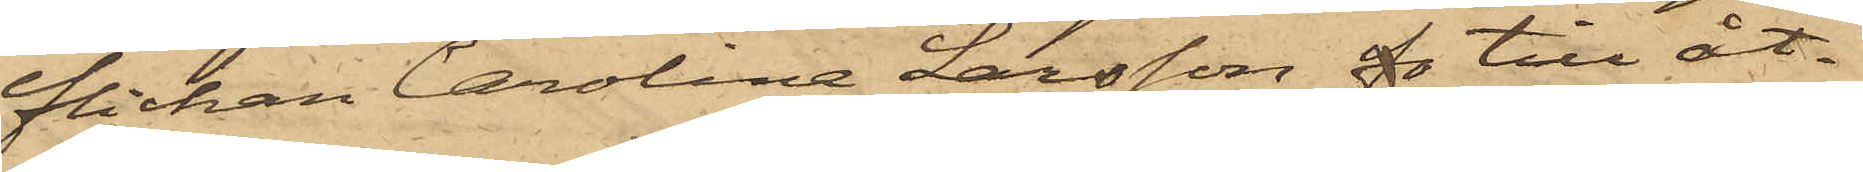flickan Carolina Larsson fo till åt¬
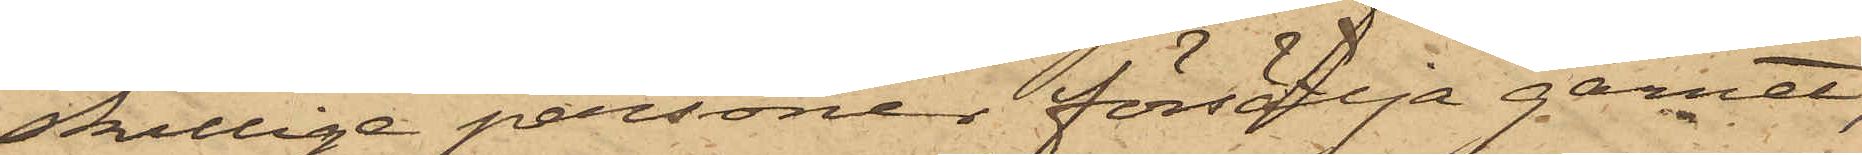skillige personer försälja garnet,
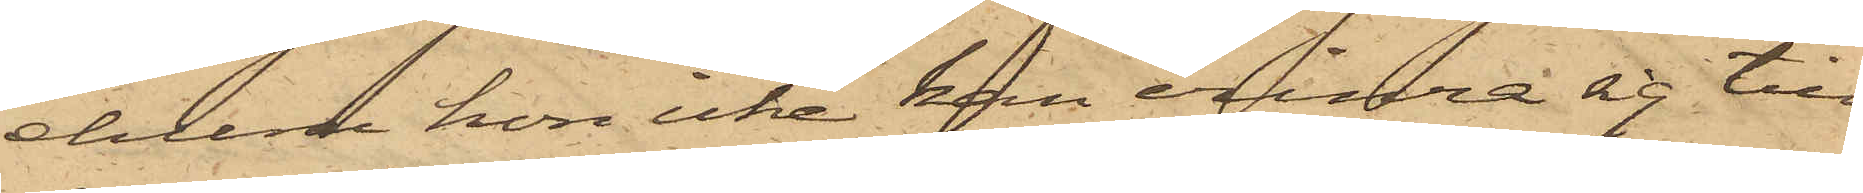ehuru hon icke kan erinra sig till
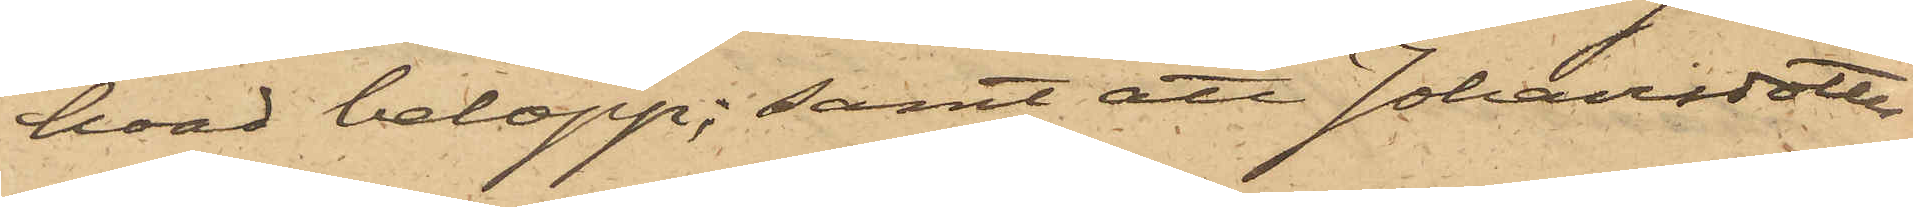hvad belopp; samt att Johansdotter
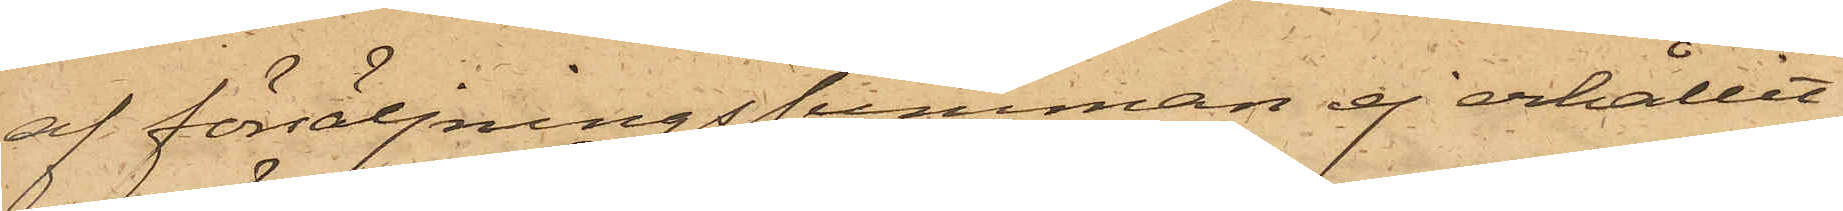af försäljningssumman ej erhållit
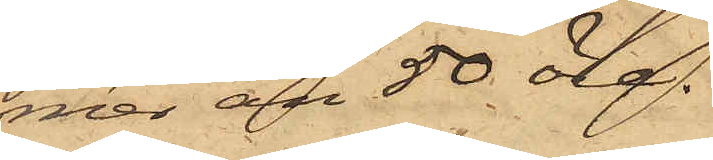mer än 50 öre.
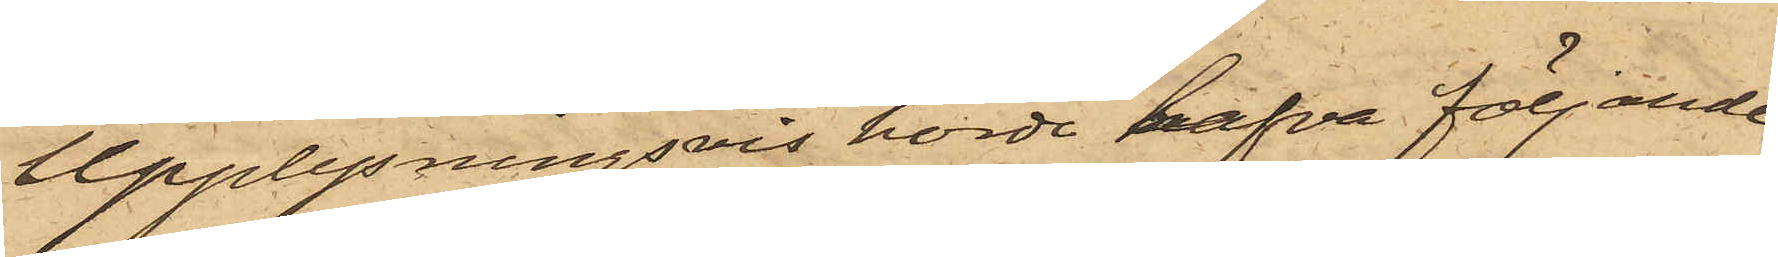Upplysningsvis hörde hafva följande
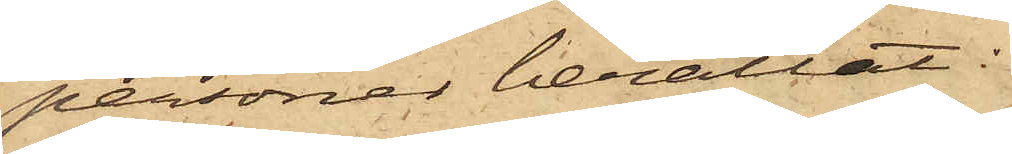personer berättat:
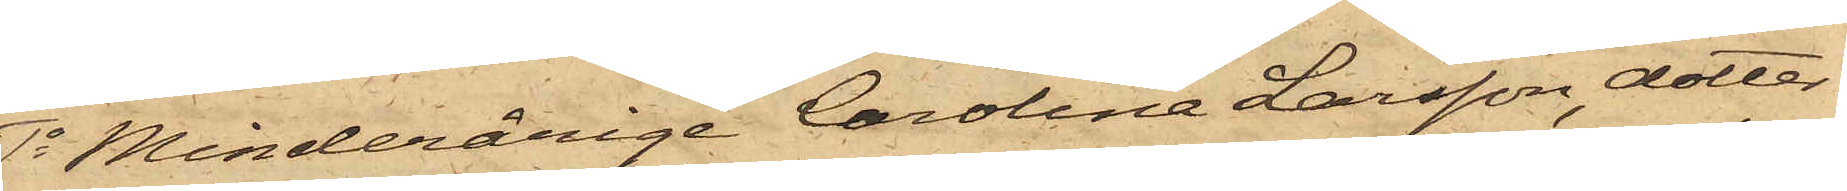1o Minderårige Carolina Larsson, dotter
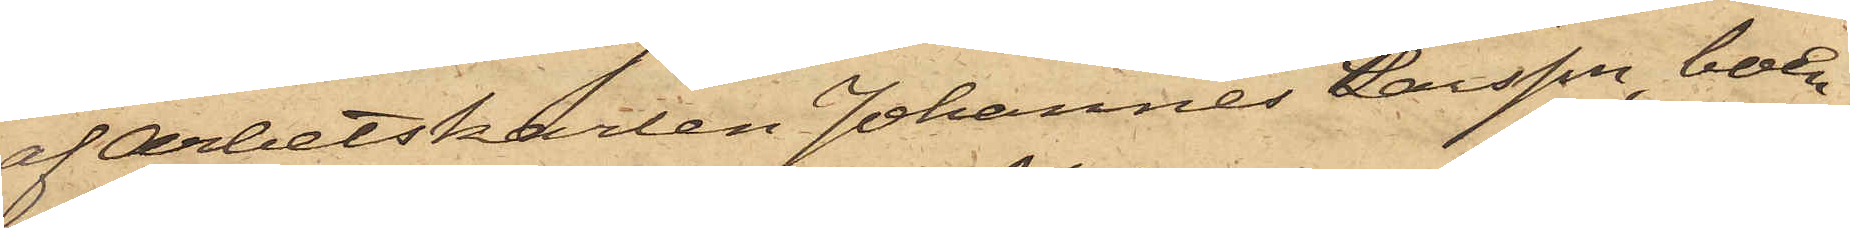af Arbetskarlen Johannes Larsson, boen¬
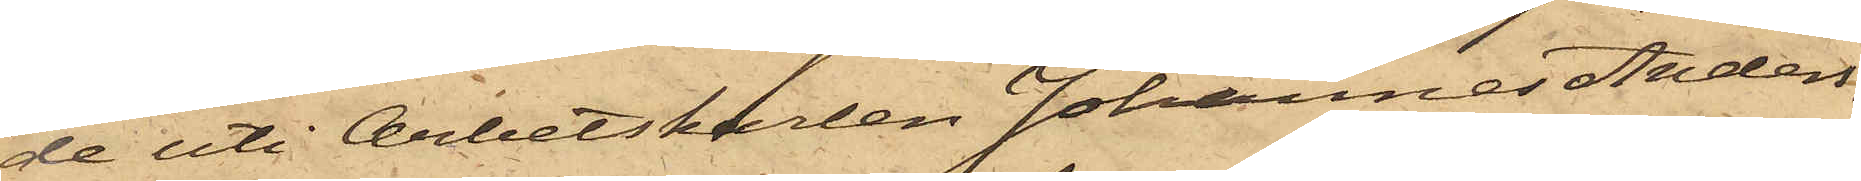de uti Arbetskarlen Johannes Anders¬
